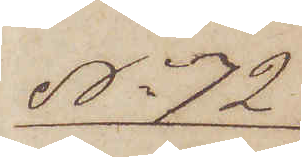No 72
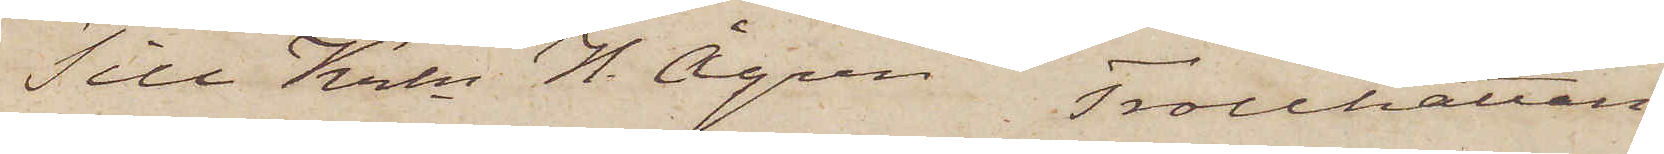Till Krln H. Ågren, Trollhättan.
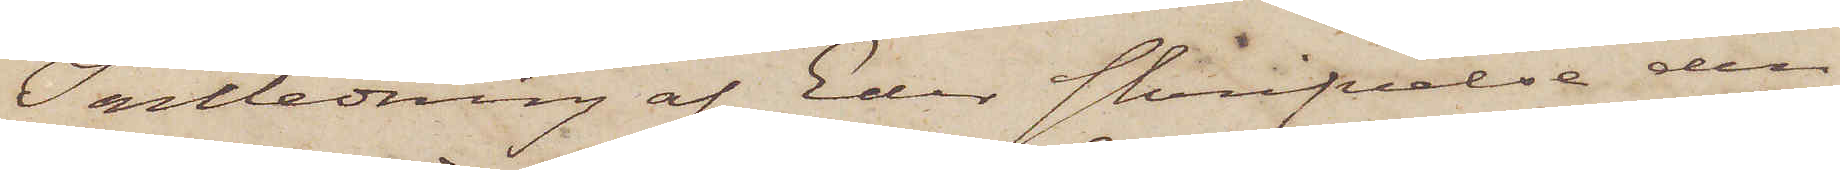I anledning af Eder skrifvelse den
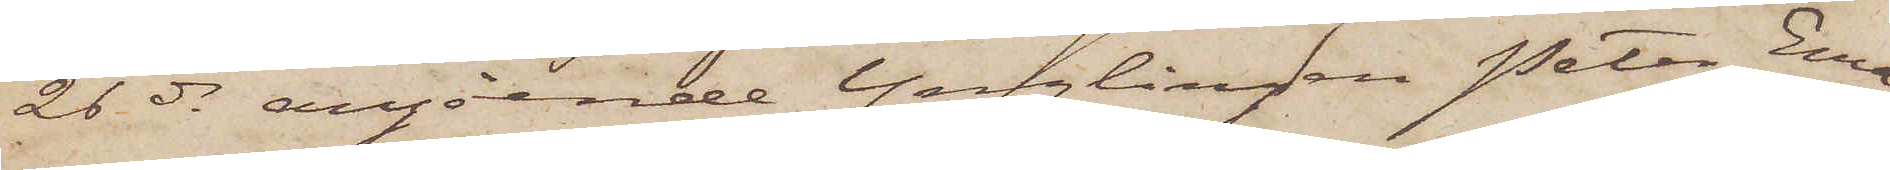26 ds angående Ynglingen Peter Ema¬
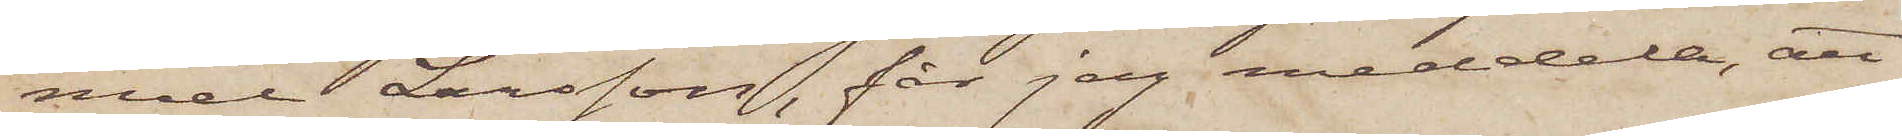nuel Larsson, får jag meddela, att
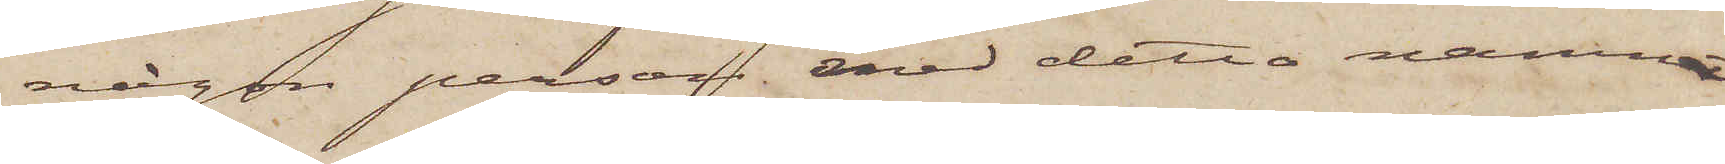någon person med detta namn
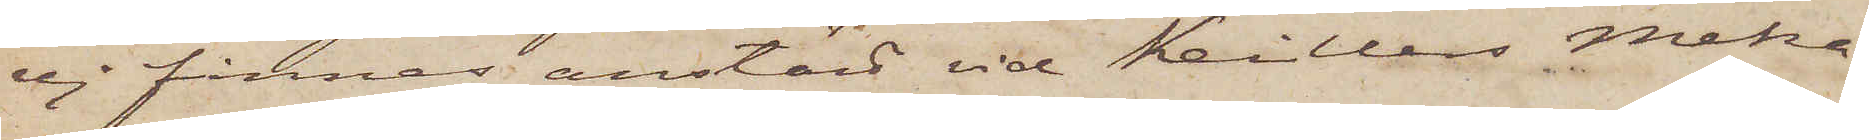ej finnes anstäld vid Keillers Meka¬
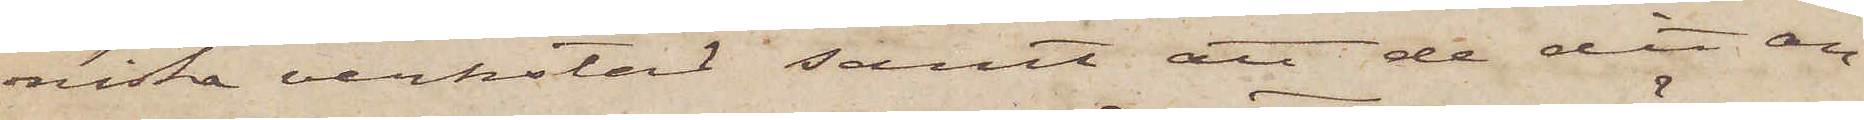niska verkstad samt att de dit an¬
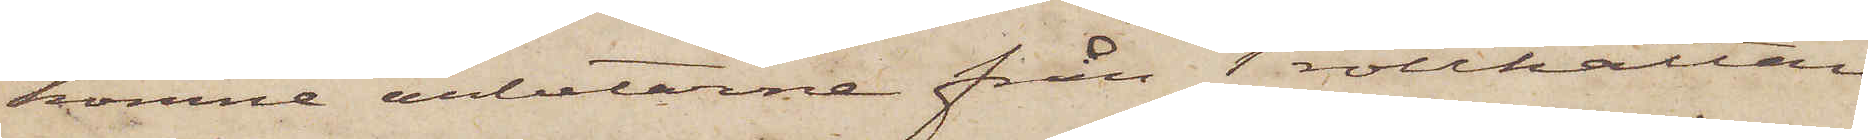komne arbetarne från Trollhättan
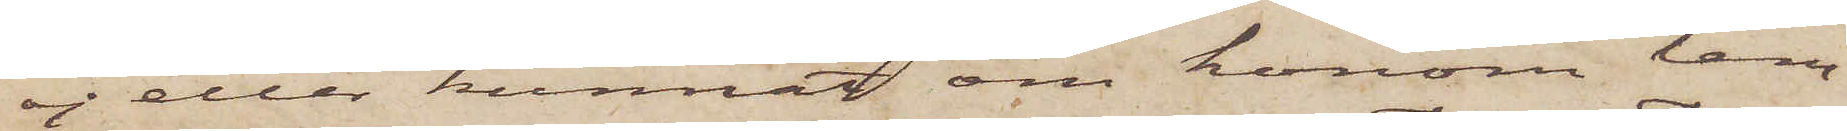ej eller kunnat om honom lem¬
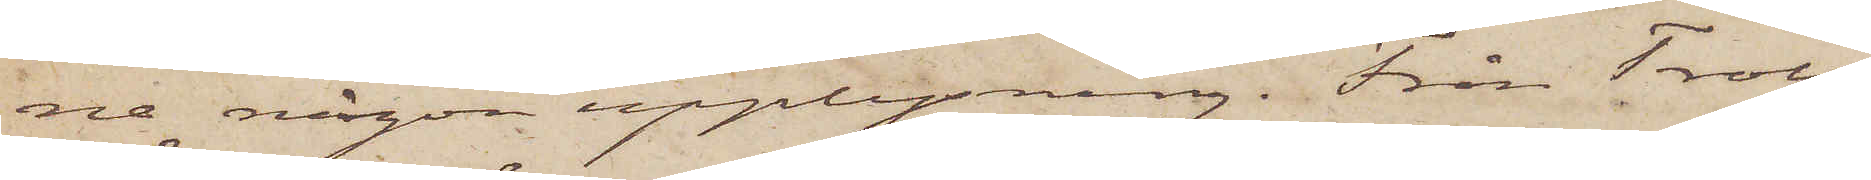na någon upplysning. Från Troll¬
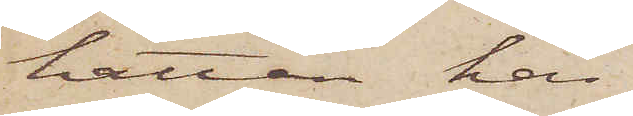hättan har
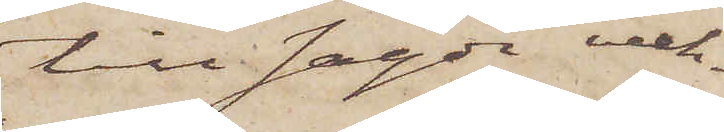till sagde verk¬
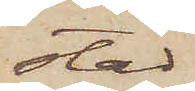stad
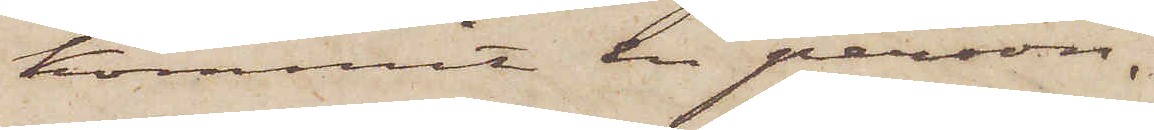kommit en person,
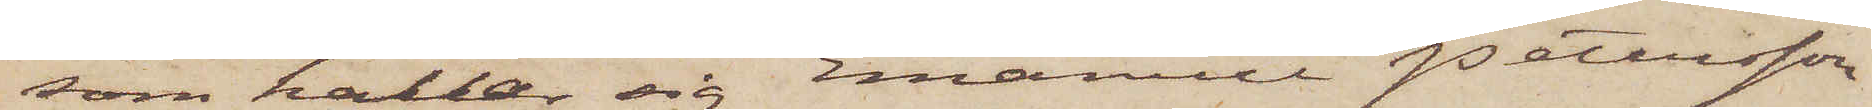som kallar sig Emanuel Petersson
